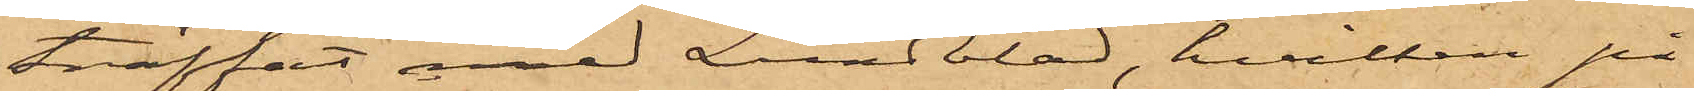träffat med Lundblad, hvilken på
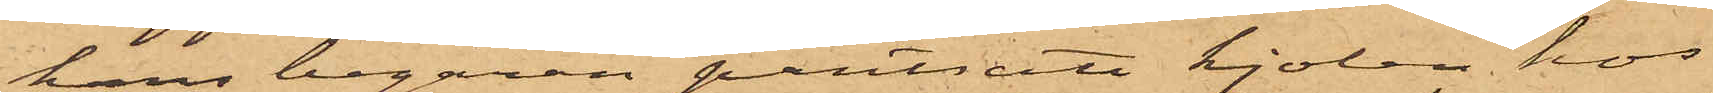hans begäran pantsatt kjolen hos
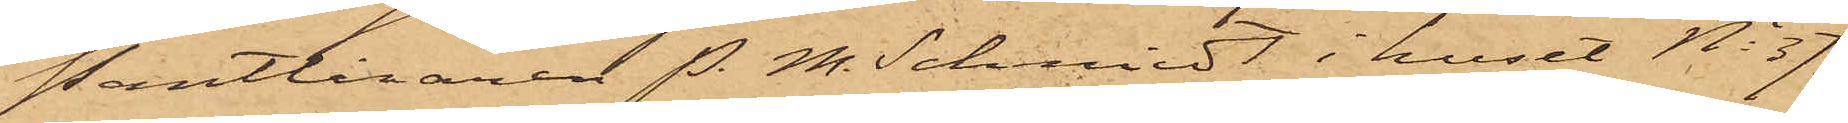Pantlånaren P. M. Schmidt i huset No 37
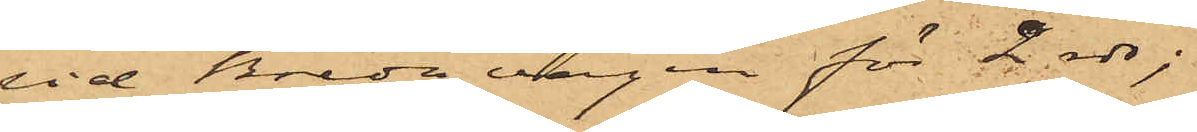vid Breda vägen för 2 rdr;
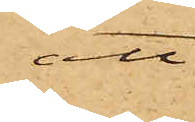att
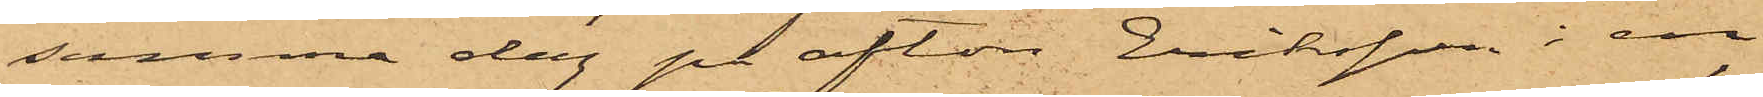samma dag på afton Eriksson i en
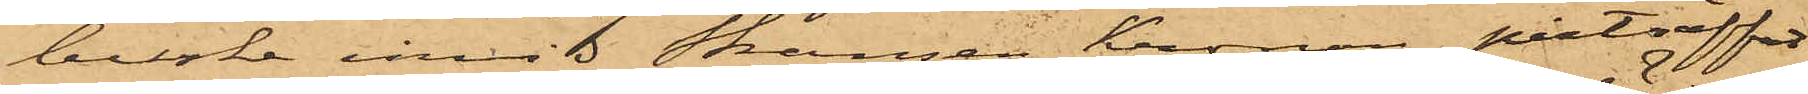buske invid Skansen Kronan påträffat
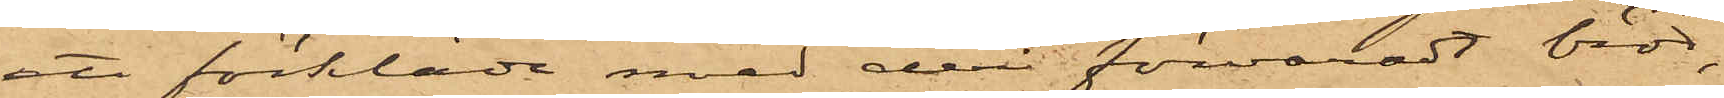ett förkläde med deri förvaradt bröd,
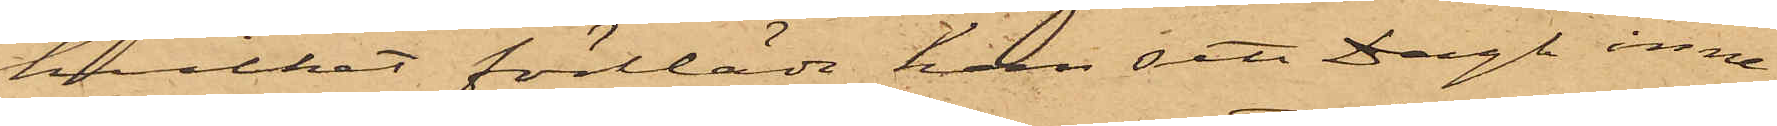hvilket förkläde han sett Dagh inne¬
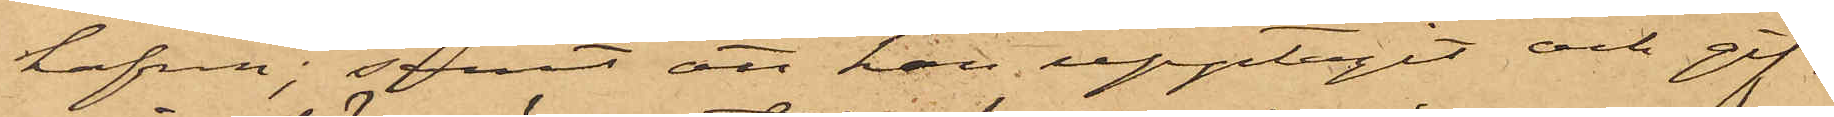hafva; samt att han upptagit och gif¬
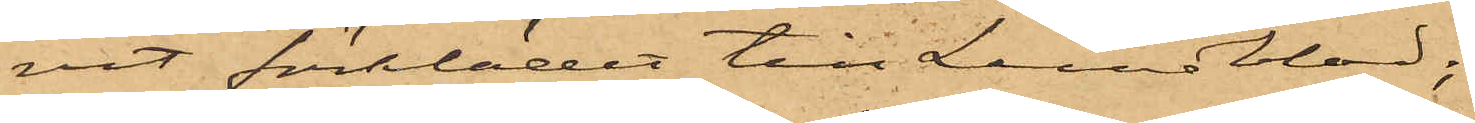vit förklädet till Lundblad;
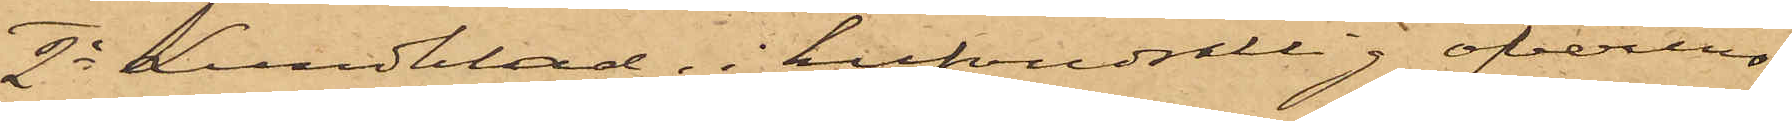2o Lundblad, i hufvudsaklig öfverens¬
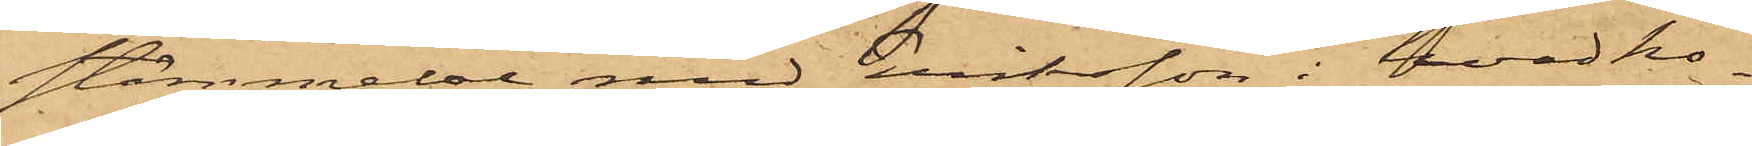stämmelse med Eriksson i hvad ho¬
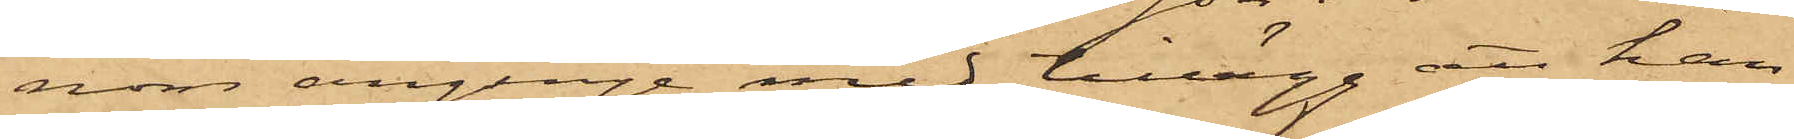nom anginge med tillägg att han
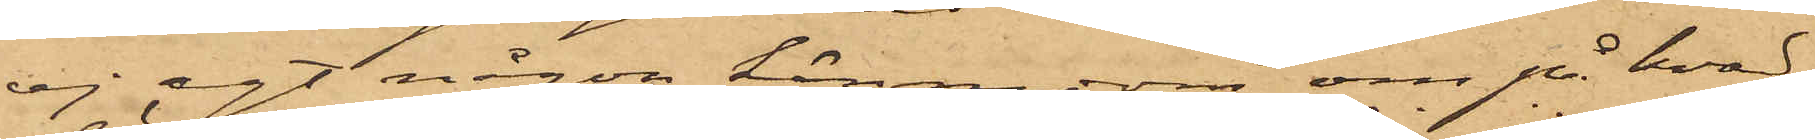ej egt någon kännedom om på hvad
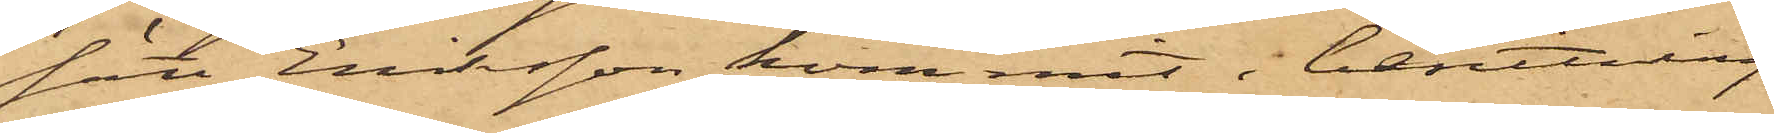sätt Eriksson kommit i besittning
